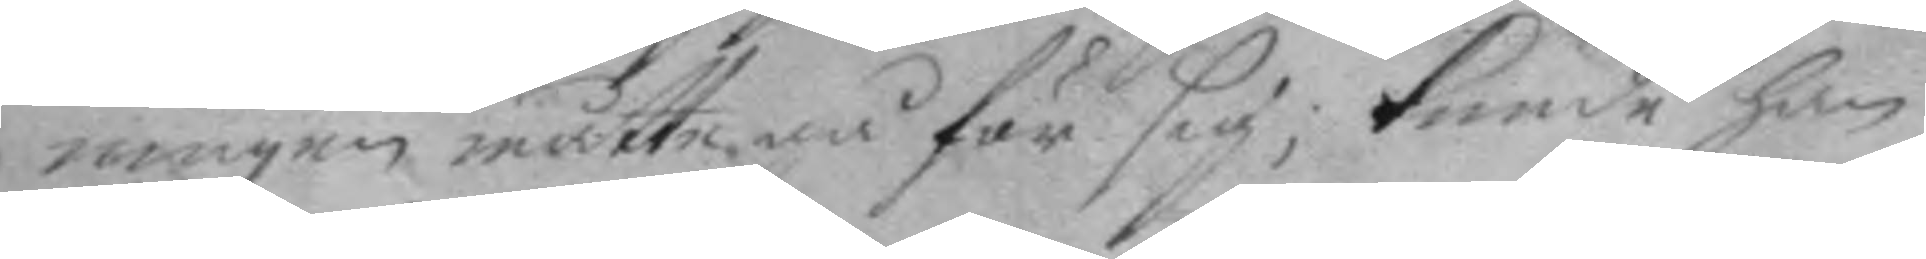ningen måtte gå för sig; kunde han
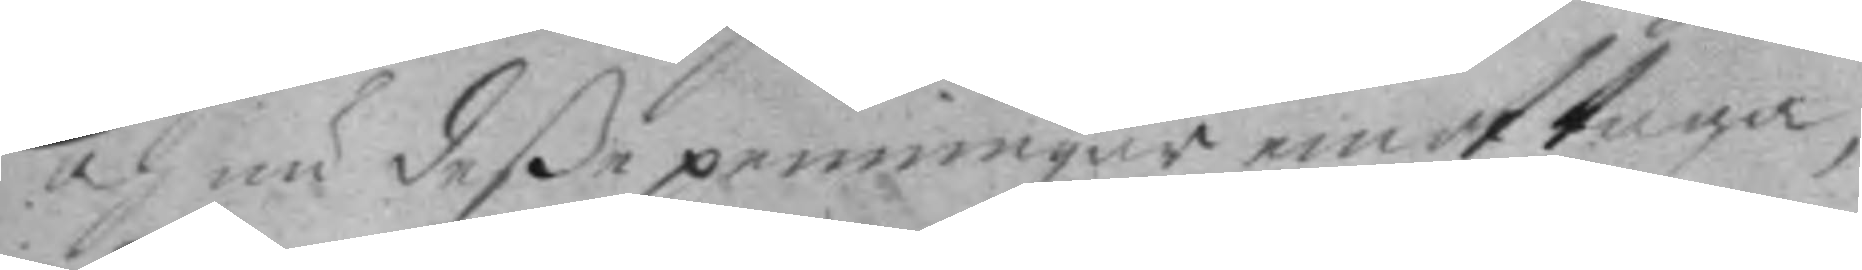och nu deße penningar emottaga,
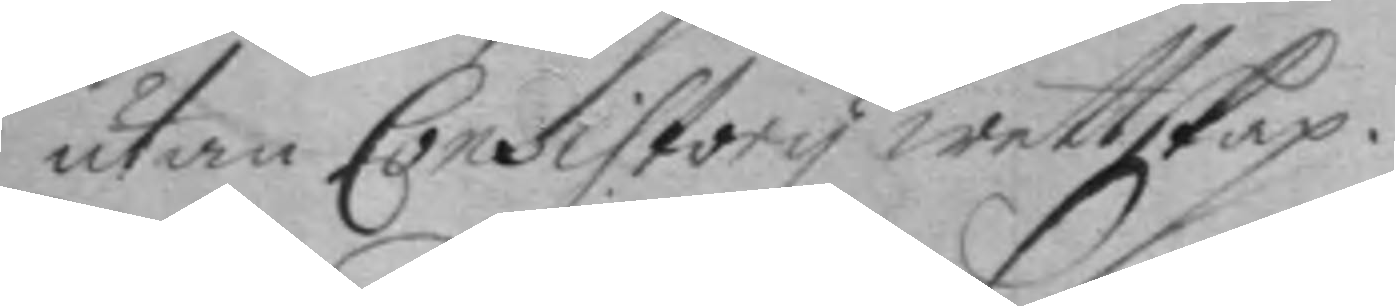utan Consistory wettskap.
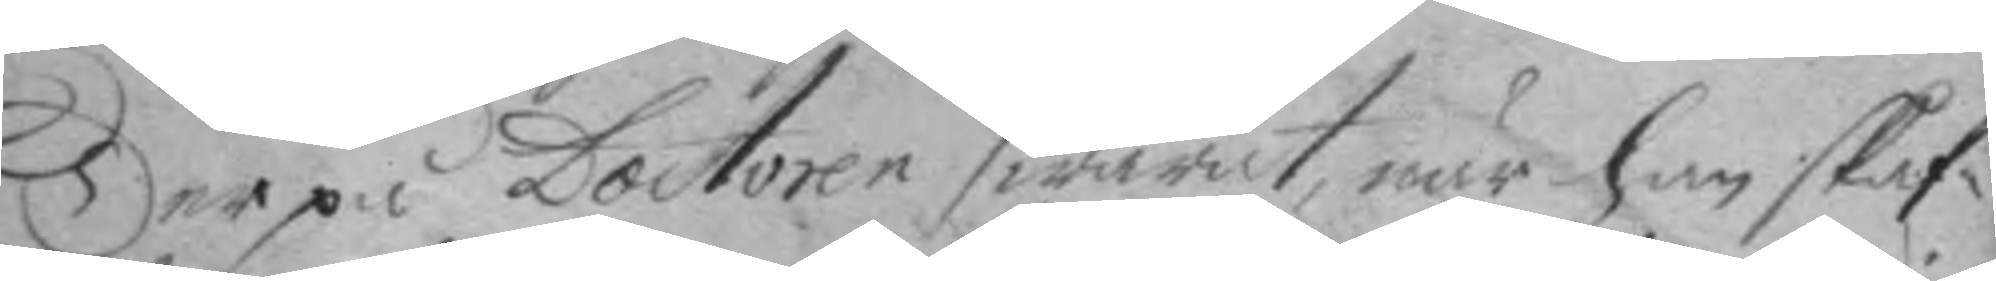Der på Doctoren swarat, när han skaf¬
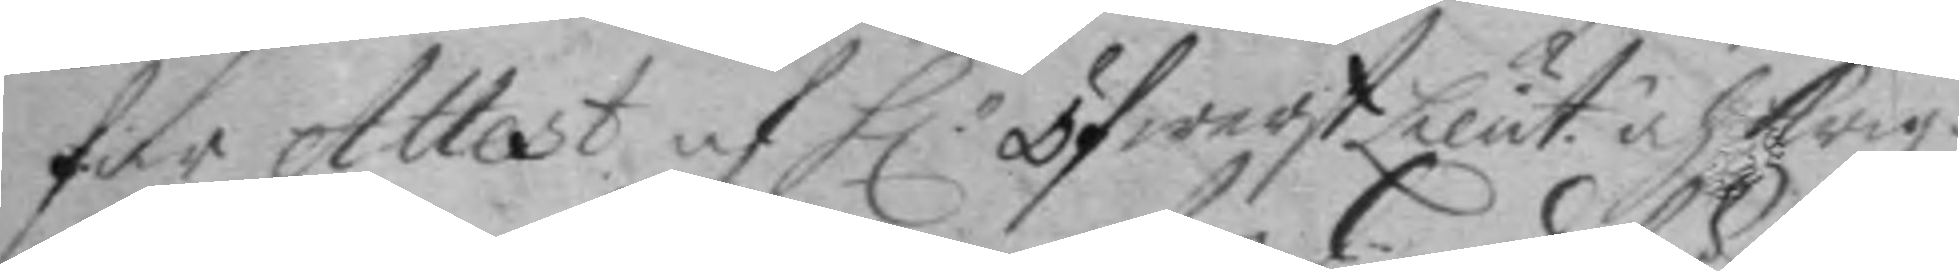far Attest af H.r öwerst Lieut. och Krigz¬
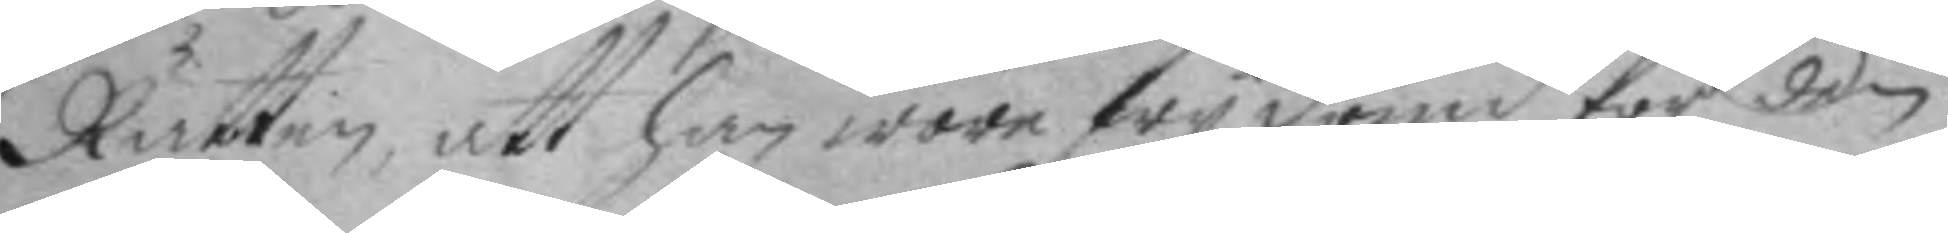Rätten, att han wore fry dömd för den
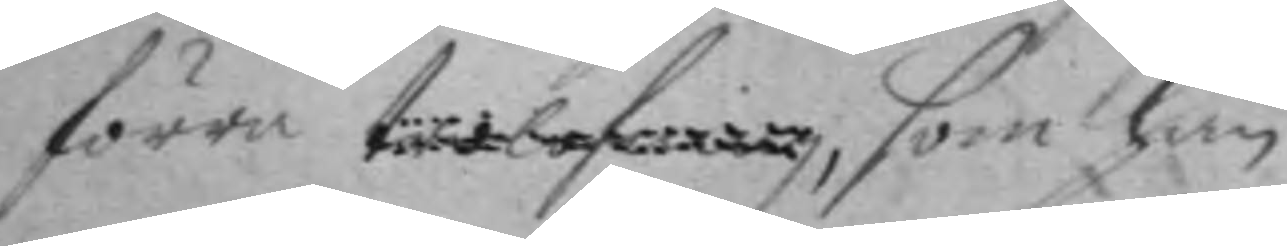förra trolofning, som han
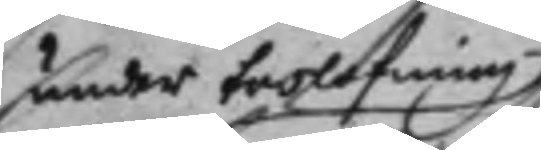under trolofning
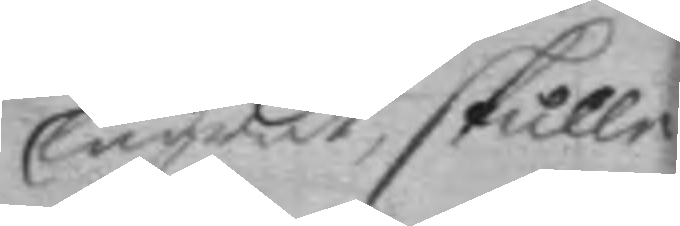lägret, skulle
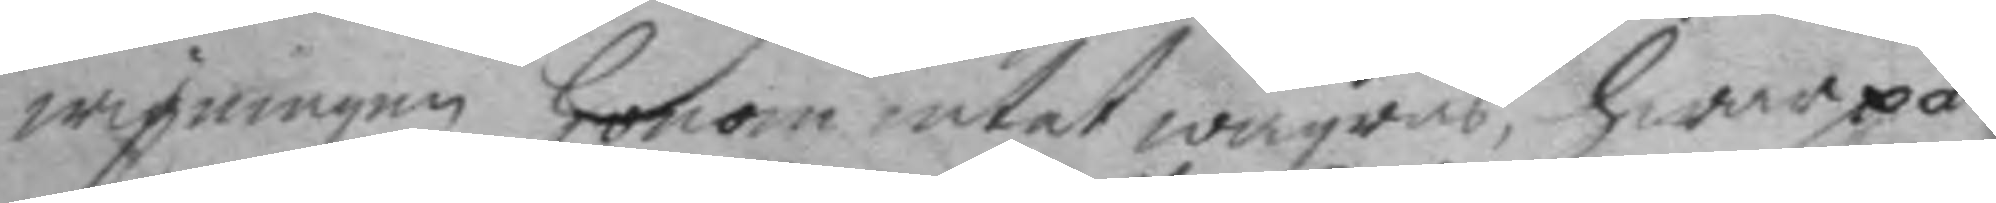wigningen honom intet wägras, hwarpå
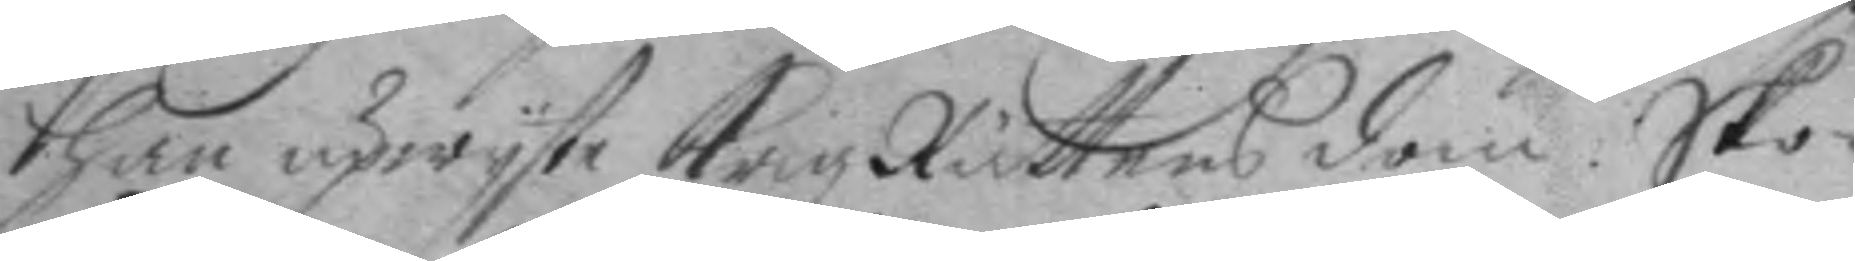han upwyste Krigz Rättens dom. Sko¬
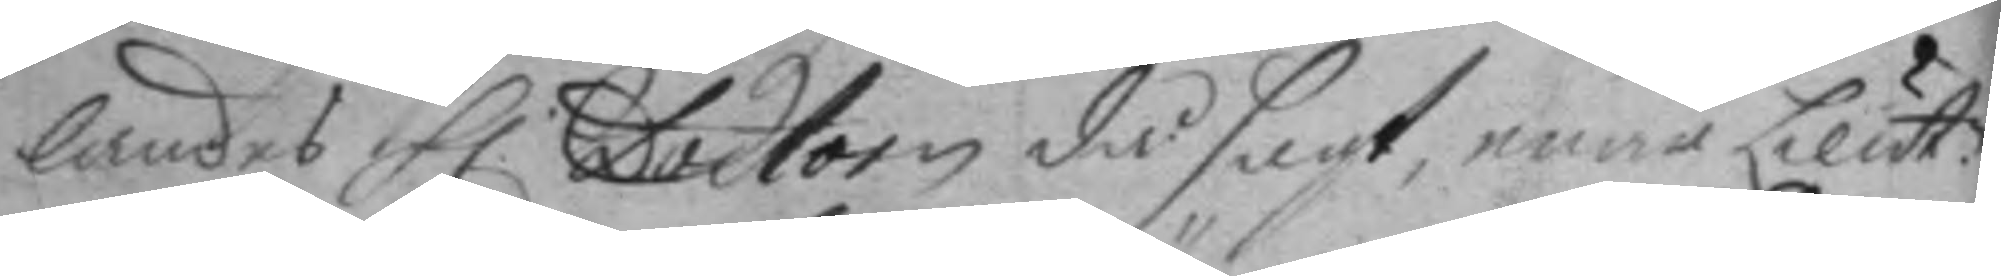landes h. Doctorn då sagt, enär Lieut.n
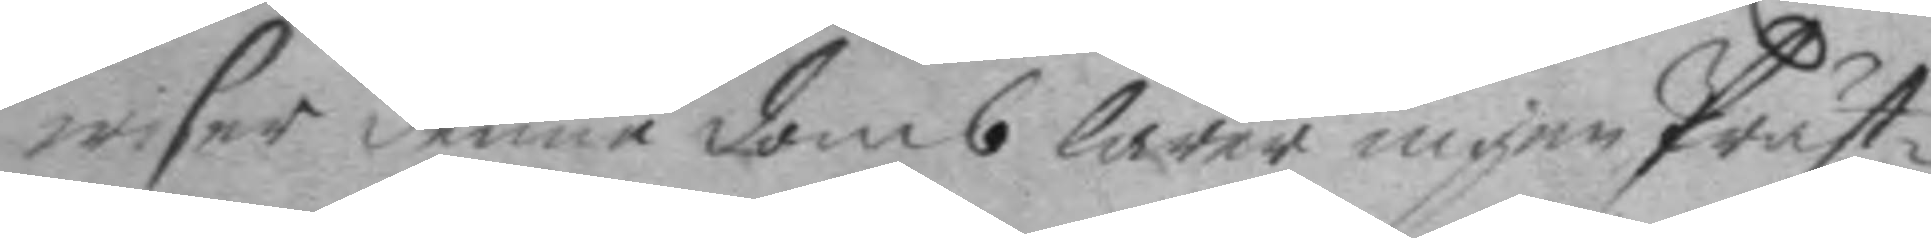wiser denne doms lärer ingen Präst¬
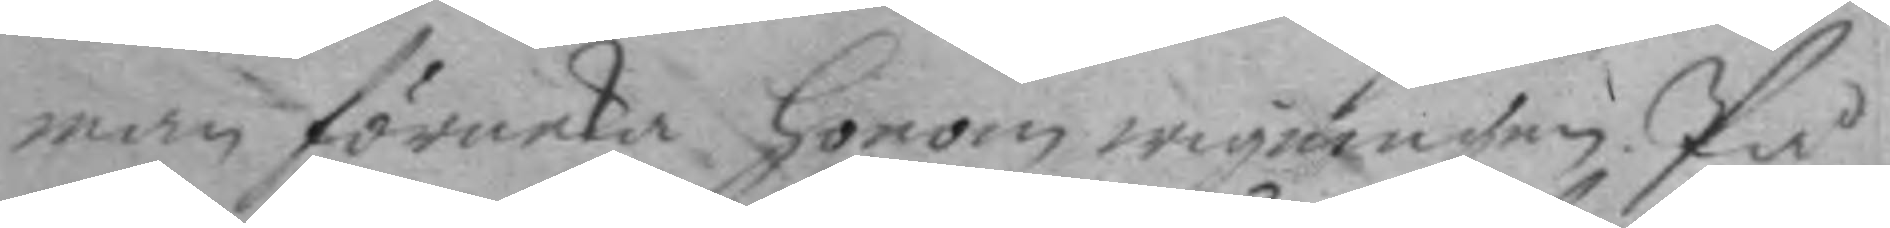man förneka honom wigningen. På
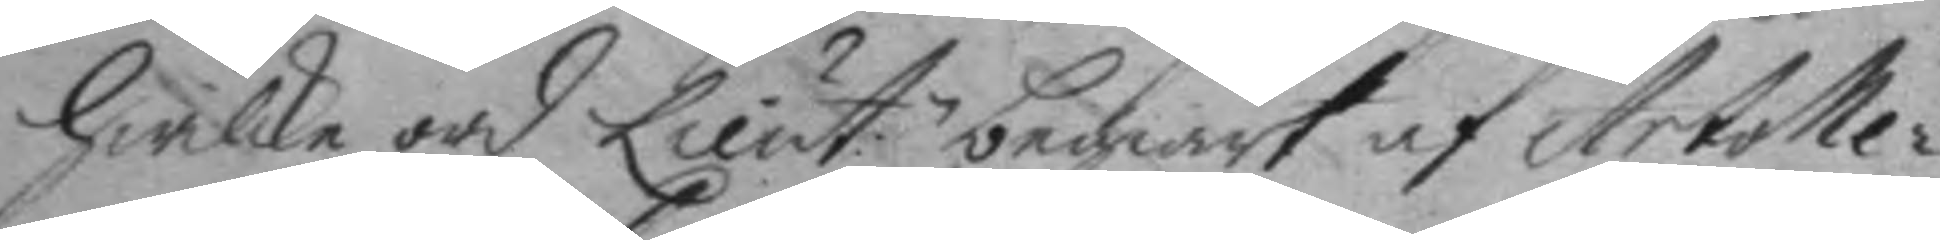hwilke ord Lieut.n begiärt af Artolle¬
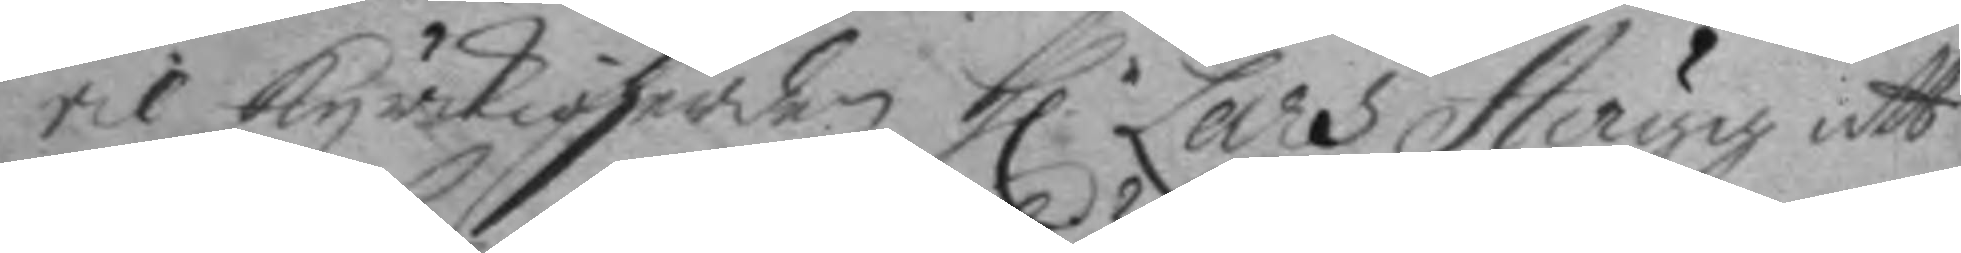ril kyrkioherden h.r Lars Hugg att
